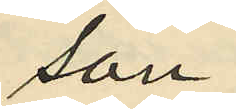son
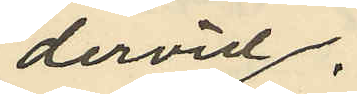dervid
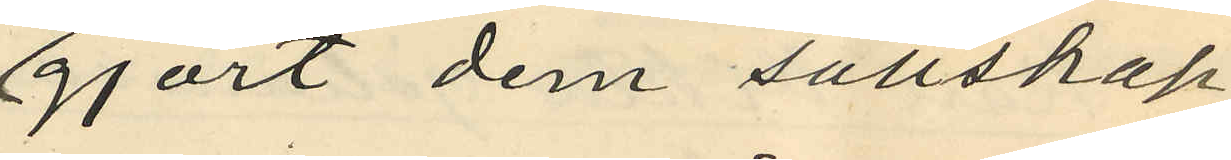gjort dem sällskap;
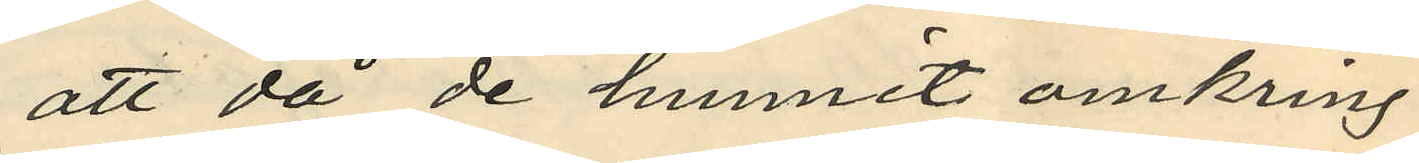att då de hunnit omkring
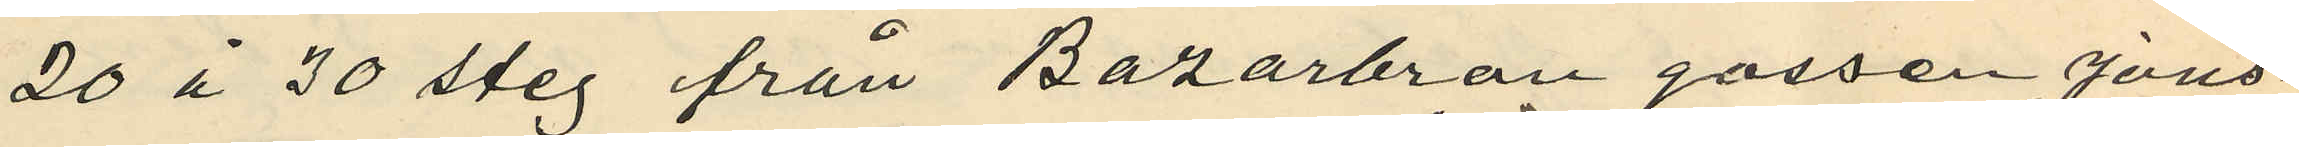20 à 30 steg från Bazarbron gossen Jons¬
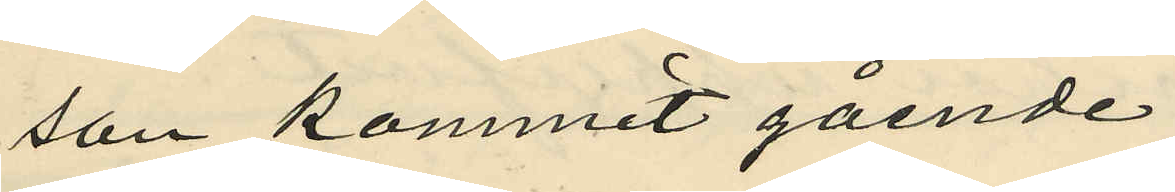son kommit gående
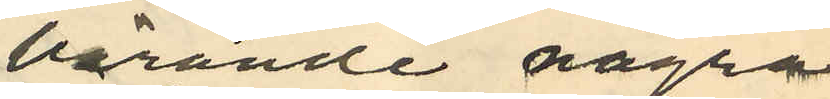bärande några
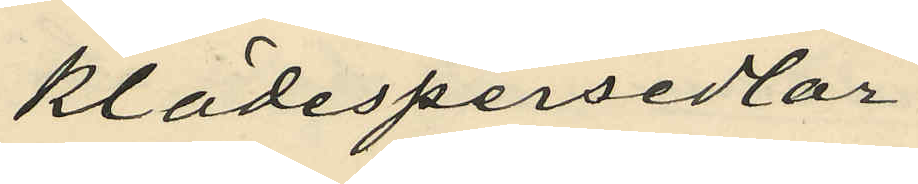klädespersedlar
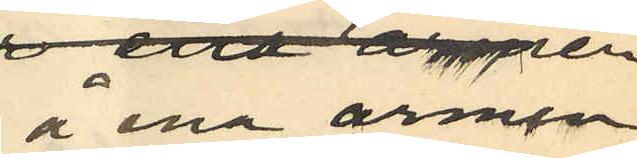å ena armen
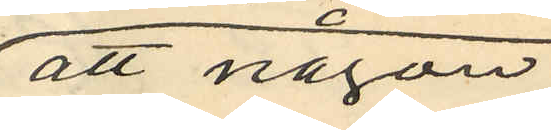att någon
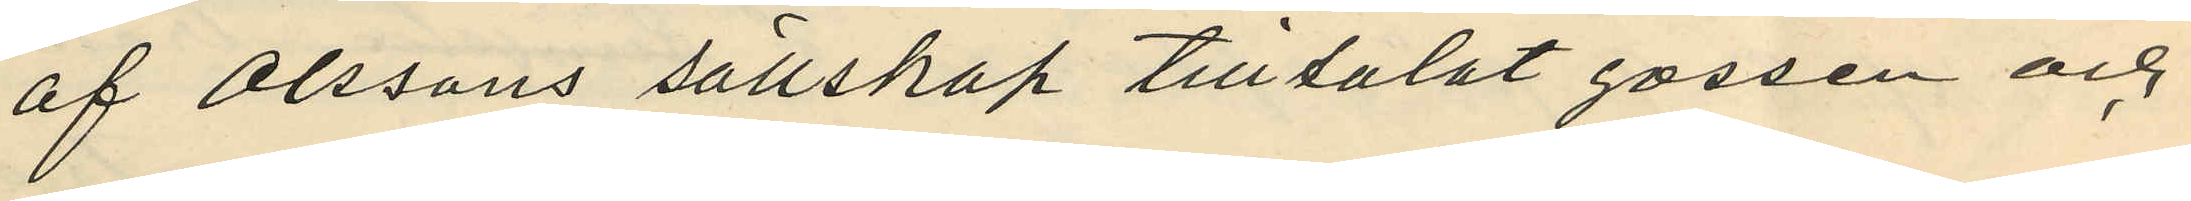af Olssons sällskap tilltalat gossen och
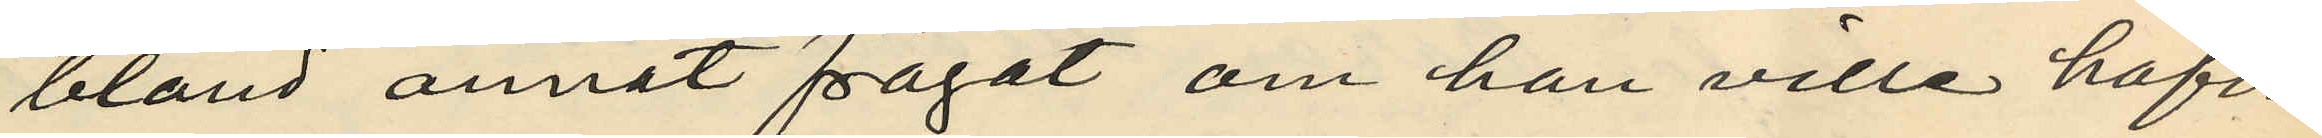bland annat frågat om han ville hafva
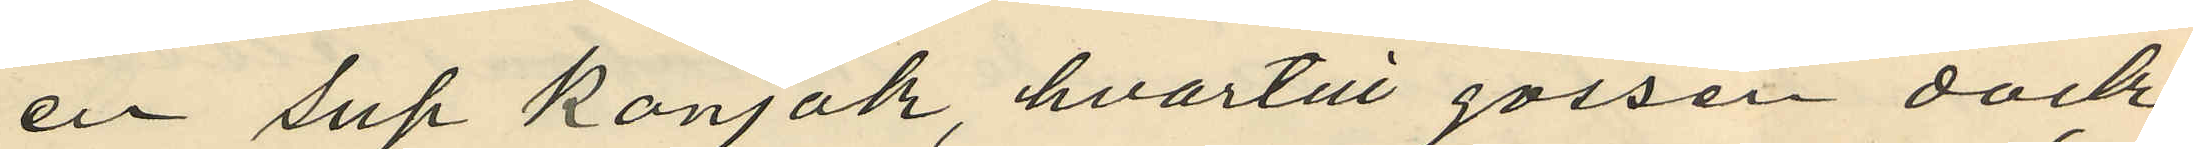en sup konjak, hvartill gossen dock
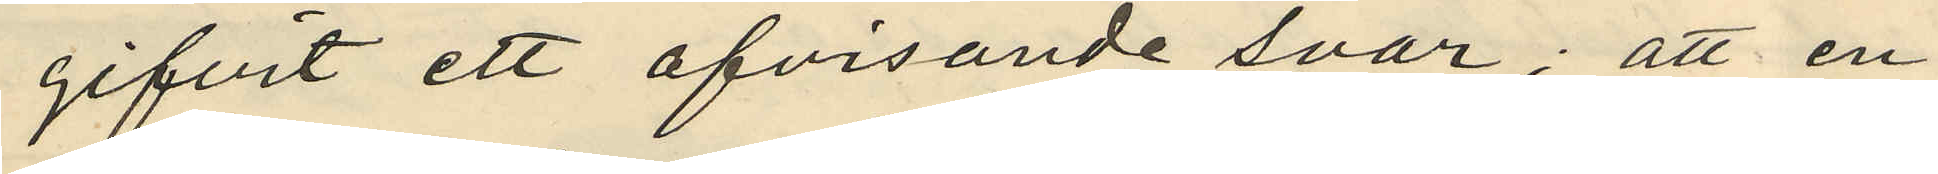gifvit ett afvisande svar; att en
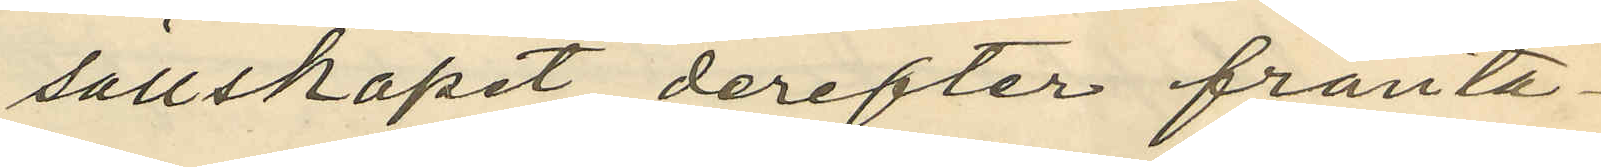sällskapet derefter frånta¬
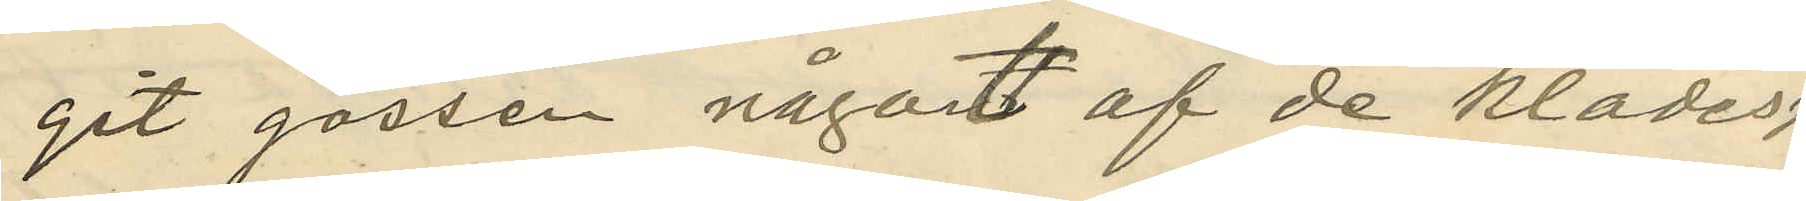git gossen något af de klädes¬
